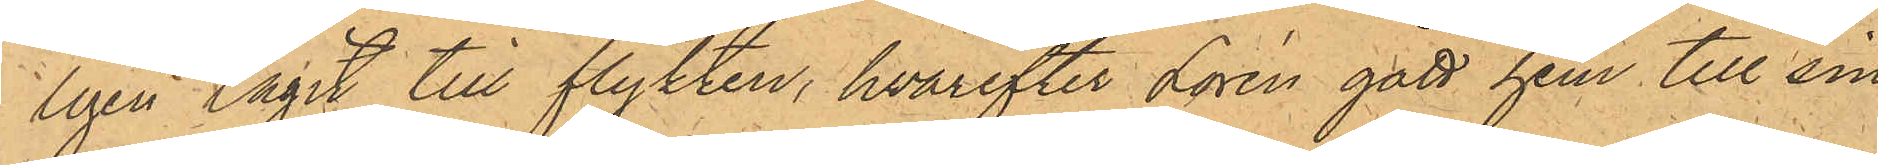ligen tagit till flykten, hvarefter Lorén gått hem till sin
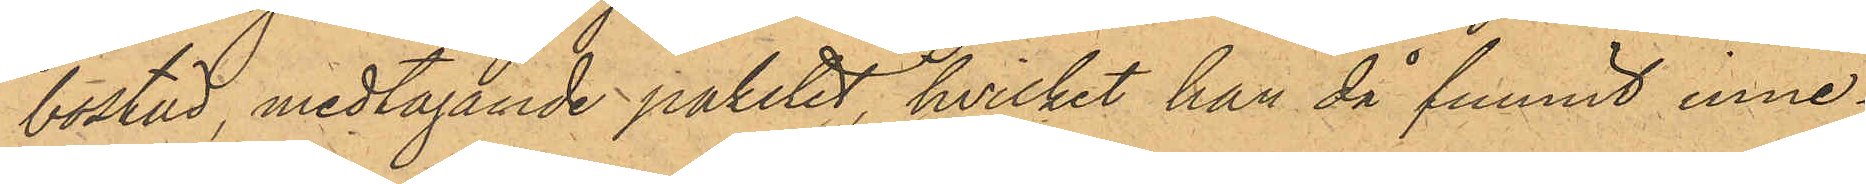bostad, medtagande paketet, hvilket han då funnit inne¬
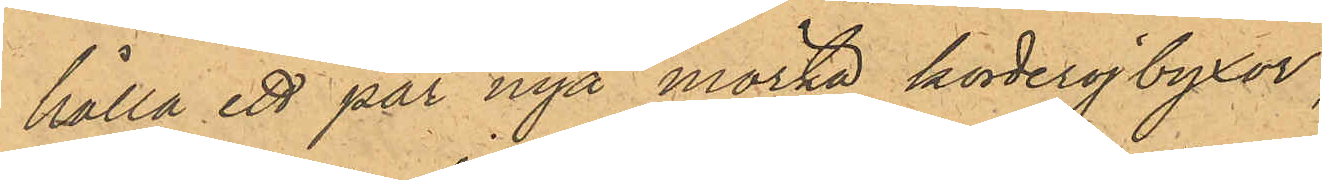hålla ett par nya mörka korderojbyxor;
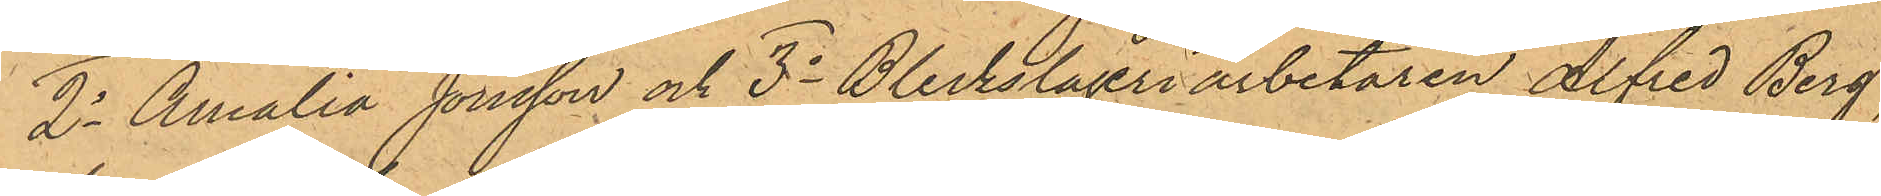2o Amalia Jonsson och 3o Bleckslageriarbetaren Alfred Berg,
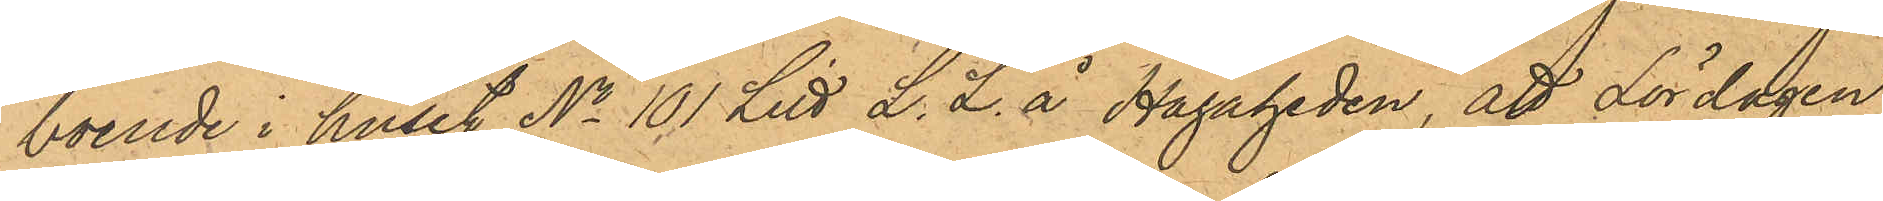boende i huset No 101 Litt L. L. å Hagaheden, att Lördagen
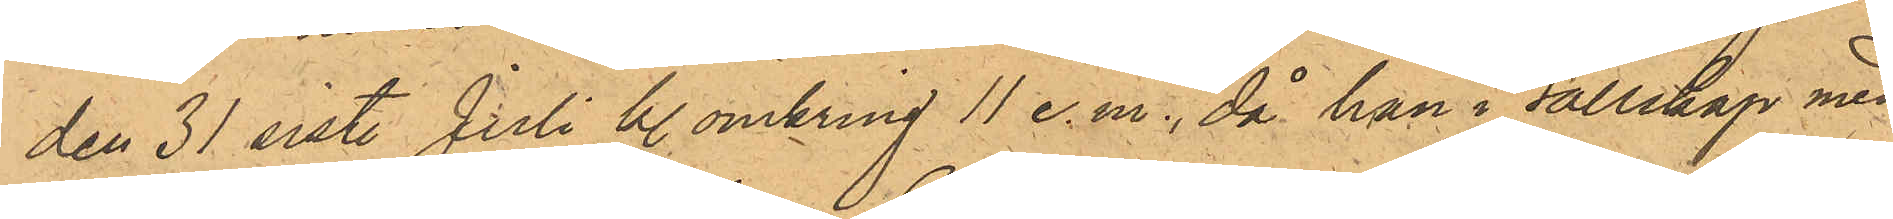den 31 sist. Juli kl. omkring 11 e.m., då han i sällskap med
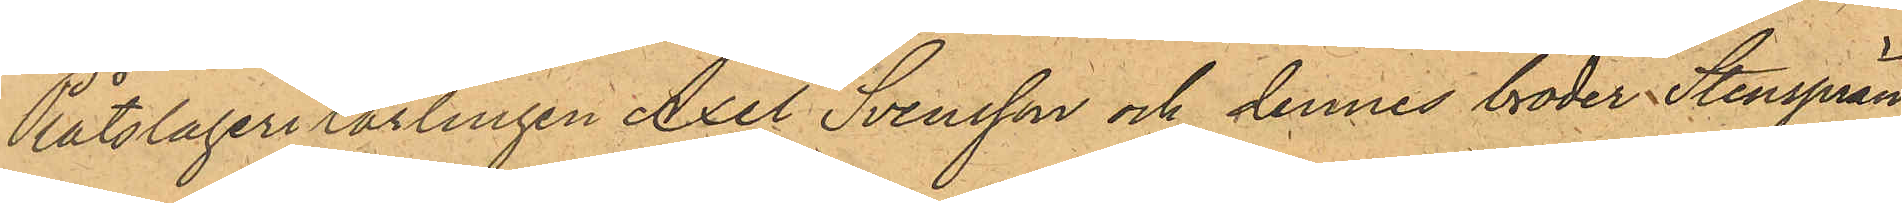Plåtslagerilärlingen Axel Svensson och dennes broder Stensprän¬
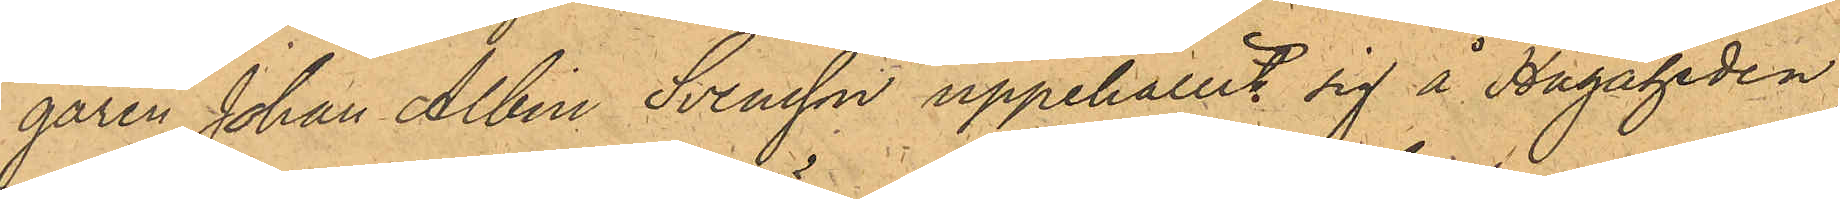garen Johan Albin Svensson uppehållit sig å Hagaheden
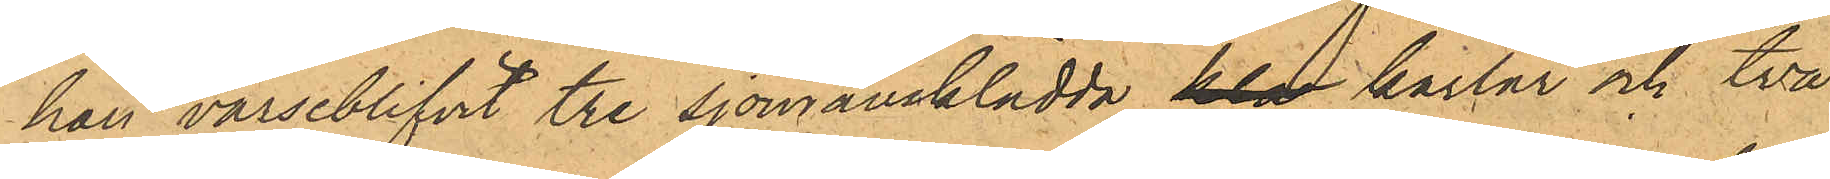han varseblifvit tre sjömansklädda kla karlar och två
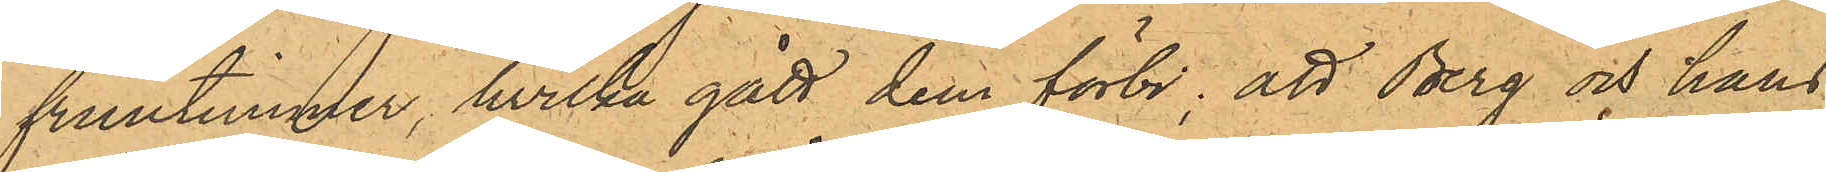fruntimmer, hvilka gått dem förbi; att Berg och hans
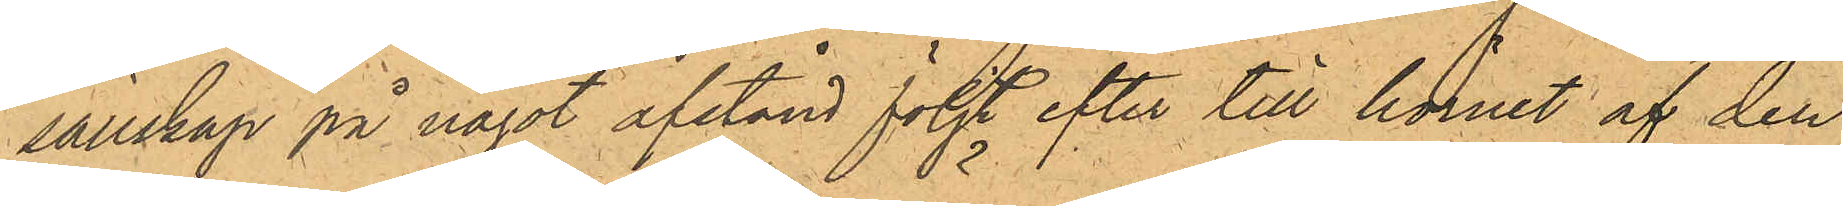sällskap på något afstånd följt efter till hörnet af den
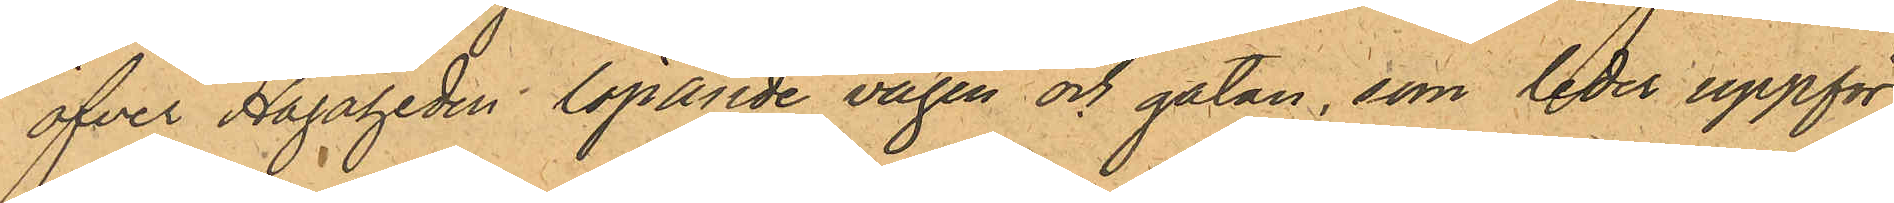öfver Hagaheden löpande vägen och gatan, som leder uppför
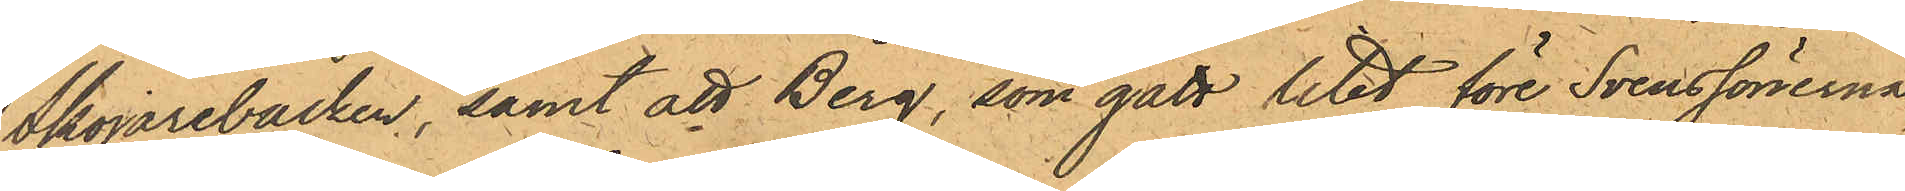Skojarebacken, samt att Berg, som gått litet före Svenssönerna,
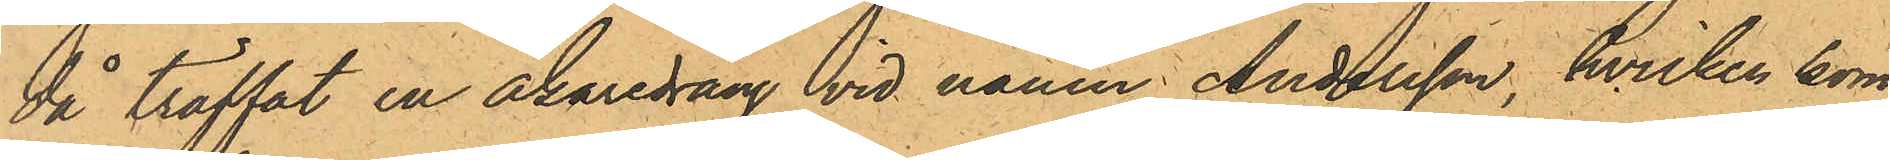då träffat en åkaredräng vid namn Andersson, hvilken kom¬
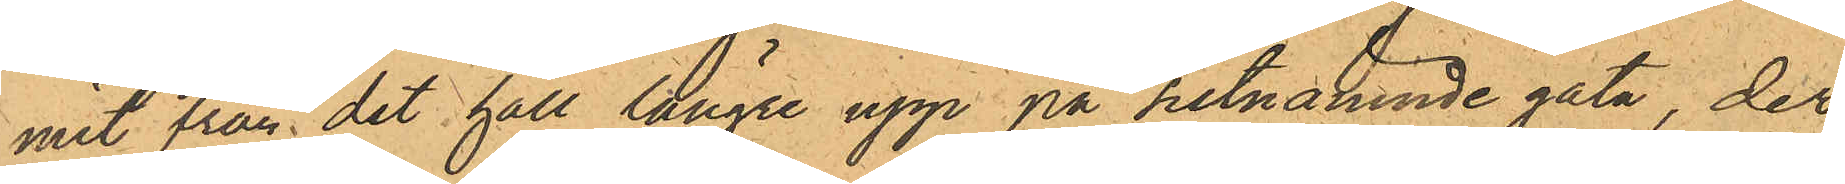mit från det håll längre upp på sistnämnde gata, der
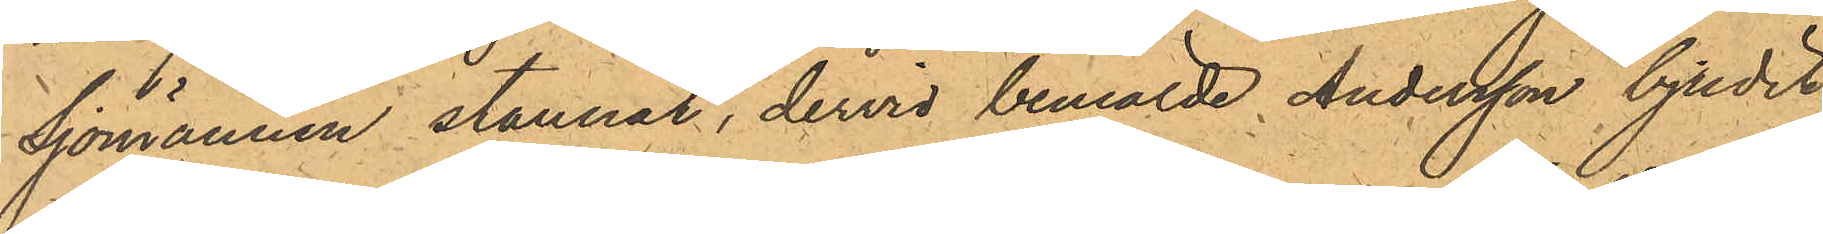Sjömännen stannat, dervid bemälde Andersson bjudit
